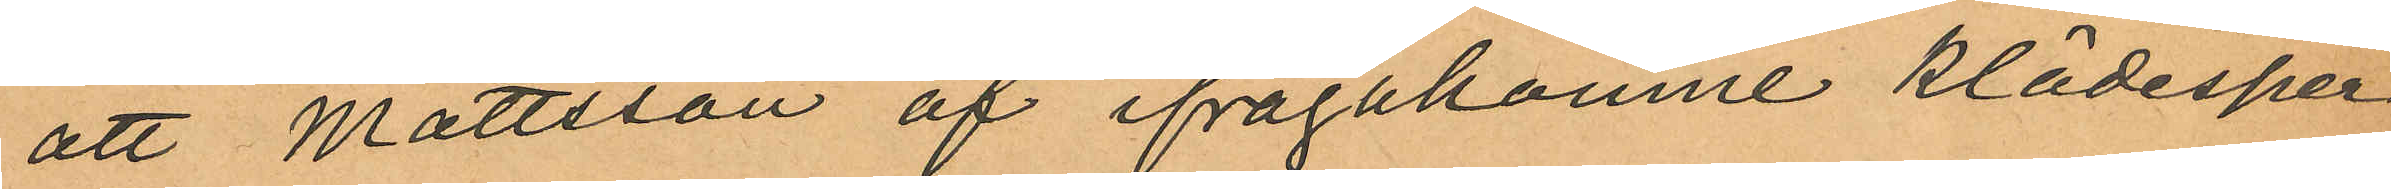att Mattsson af ifrågakomne klädesper
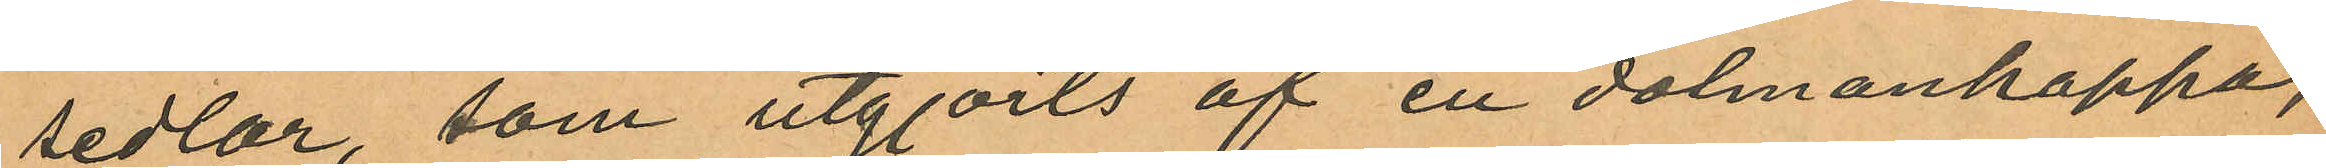sedlar, som utgjorts af en dolmankappa,
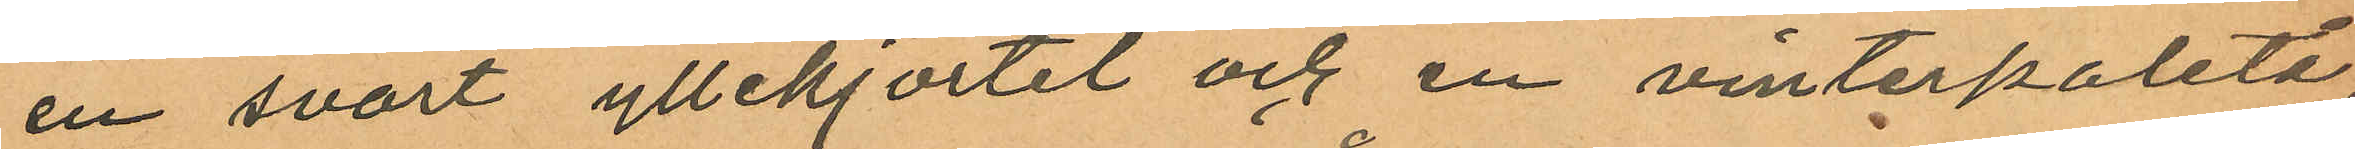en svart yllekjortel och en vinterpaletå,
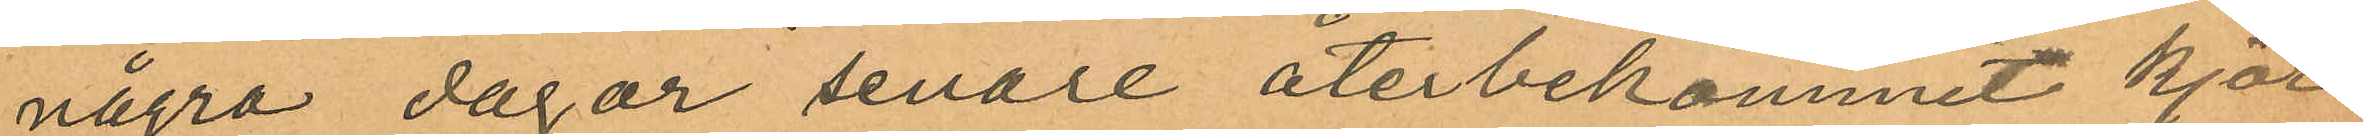några dagar senare återbekommit kjor¬
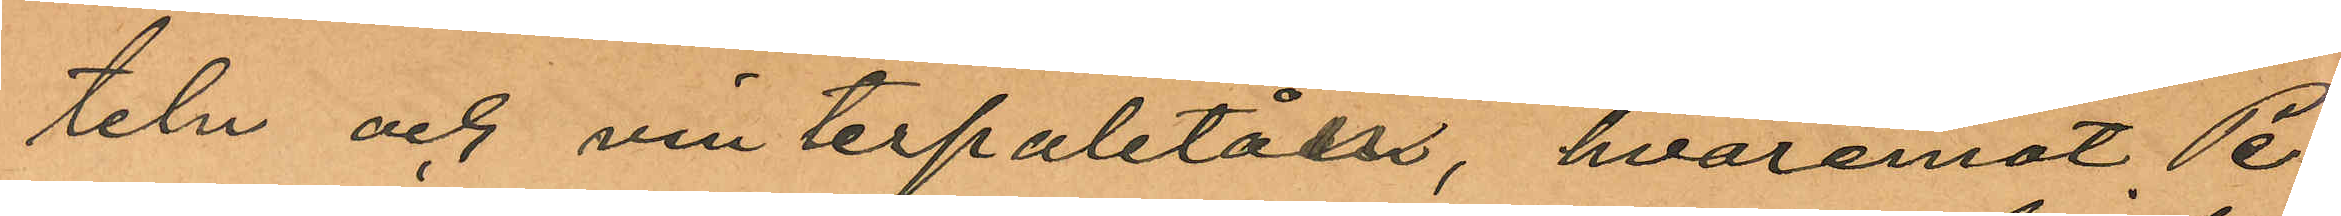teln och vinterpaletåen, hvaremot Pe¬
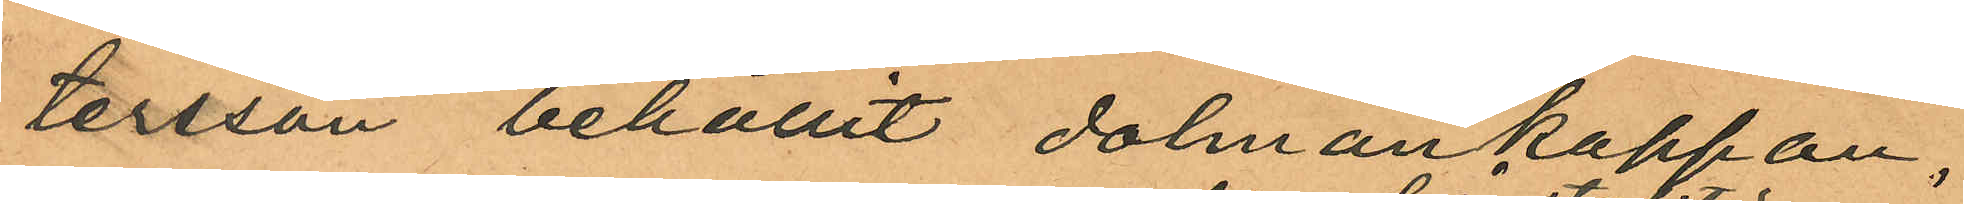tersson behållit dolmankappan;
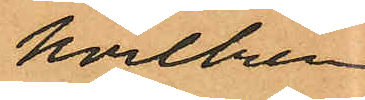hvilken
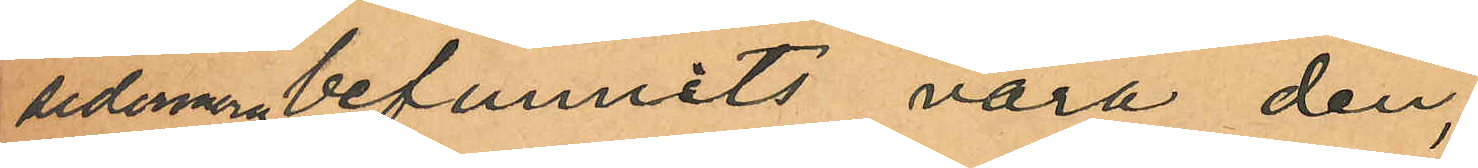sedermera befunnits vara den,
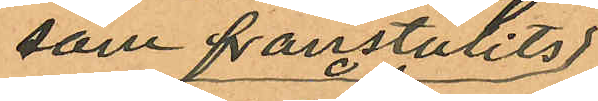som frånstulits
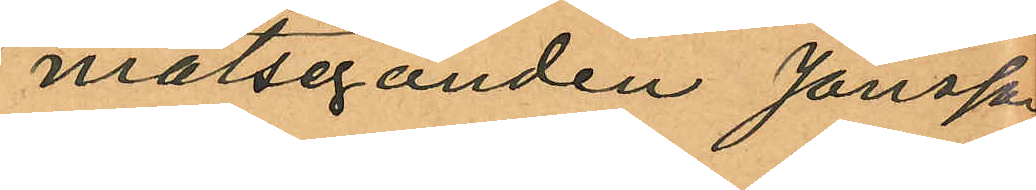målseganden Jönsson
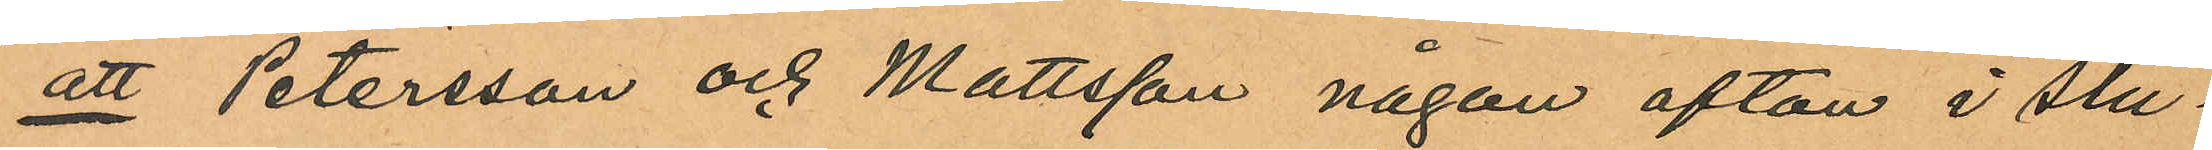att Petersson och Mattsson någon afton i slu¬
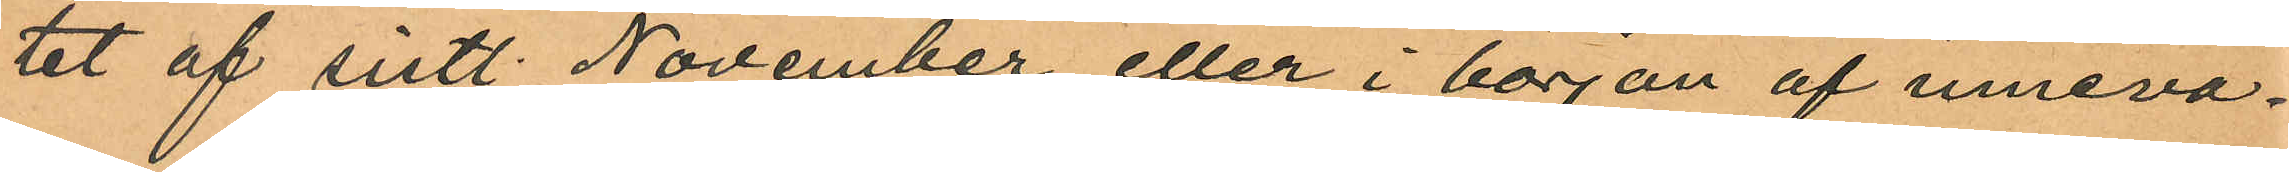tet af sistl. November eller i början af inneva¬
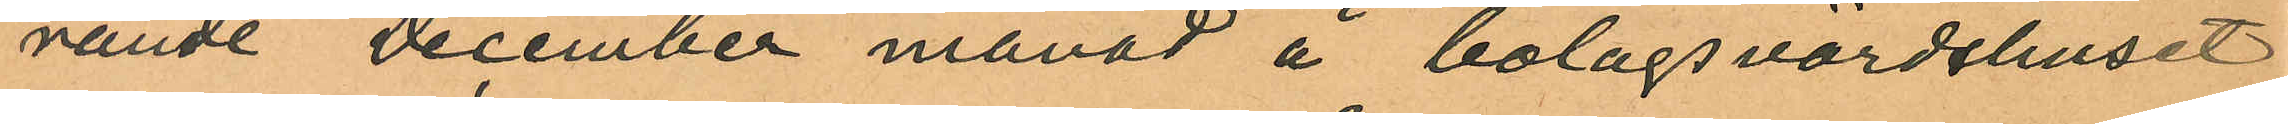rande December månad å bolagsvärdshuset
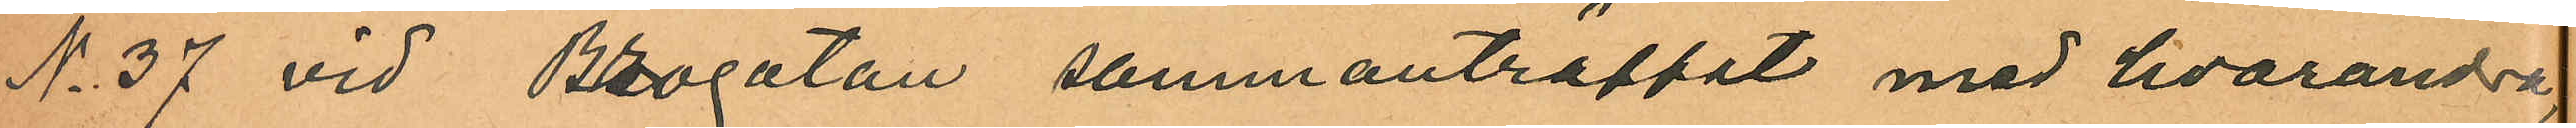No 37 vid Brogatan sammanträffat med hvarandra
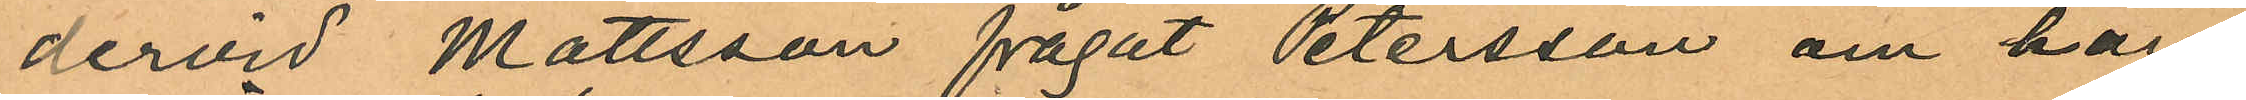dervid Mattsson frågat Petersson om han
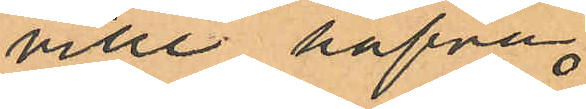ville hafva
